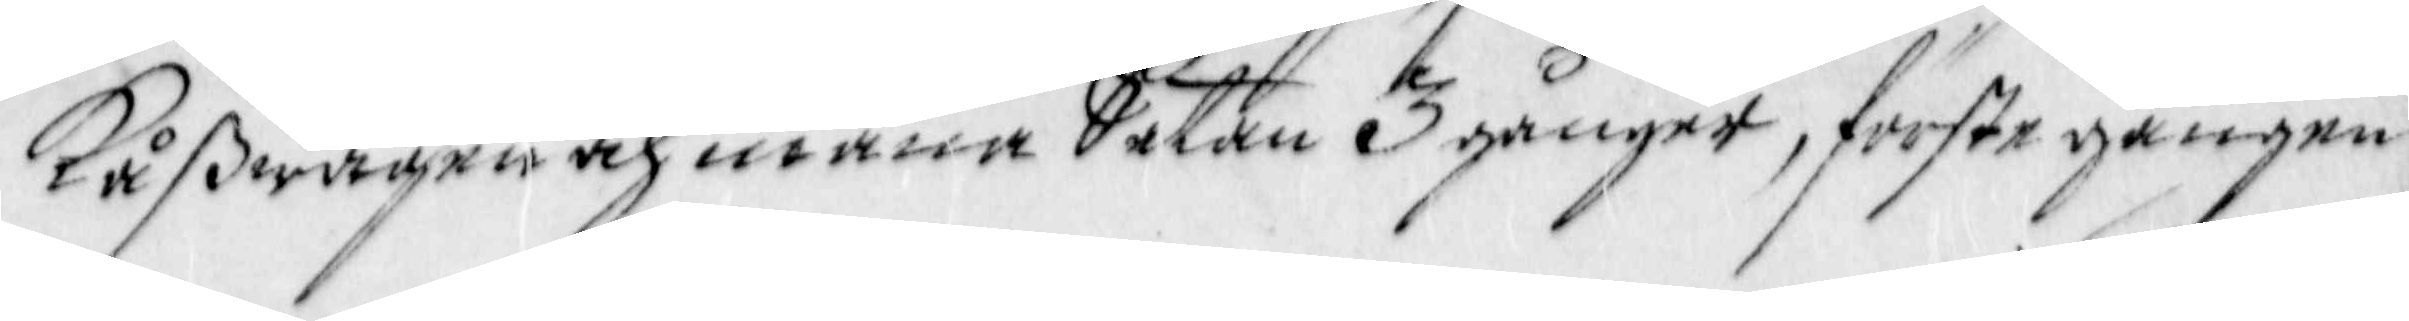Kåßwägen och mana Satan 3 gånger, förste gången
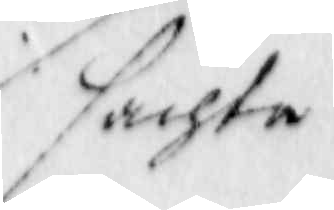sachta
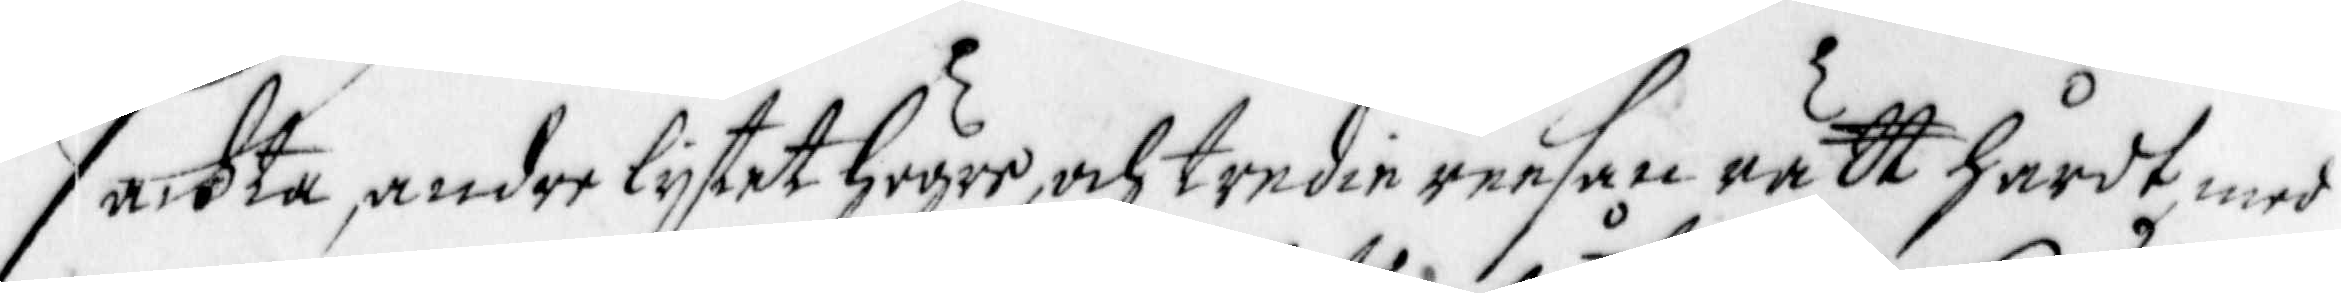sackta andre lijtet högre, och tredie reesan rätt hårdt, med
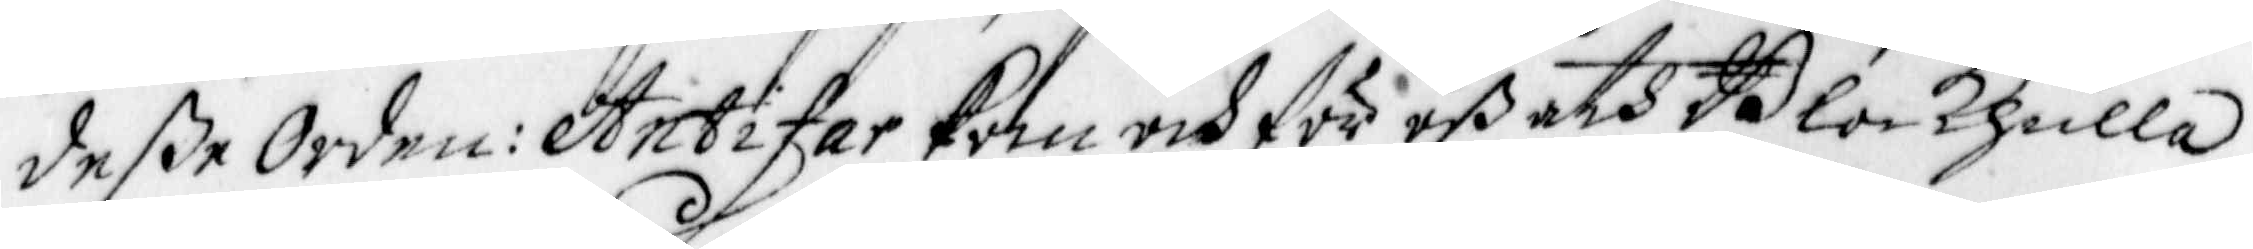deße Orden: Antifar Kom och för oß åth Blockhulla,
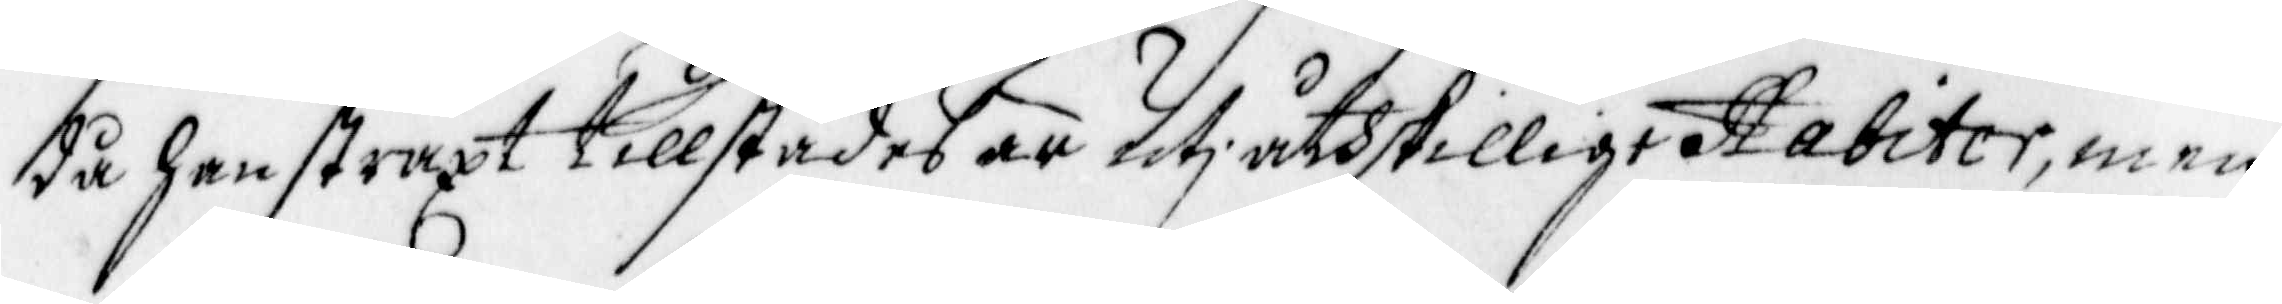då han straxt tillstädes är uti åtsskilligeHabiter, men
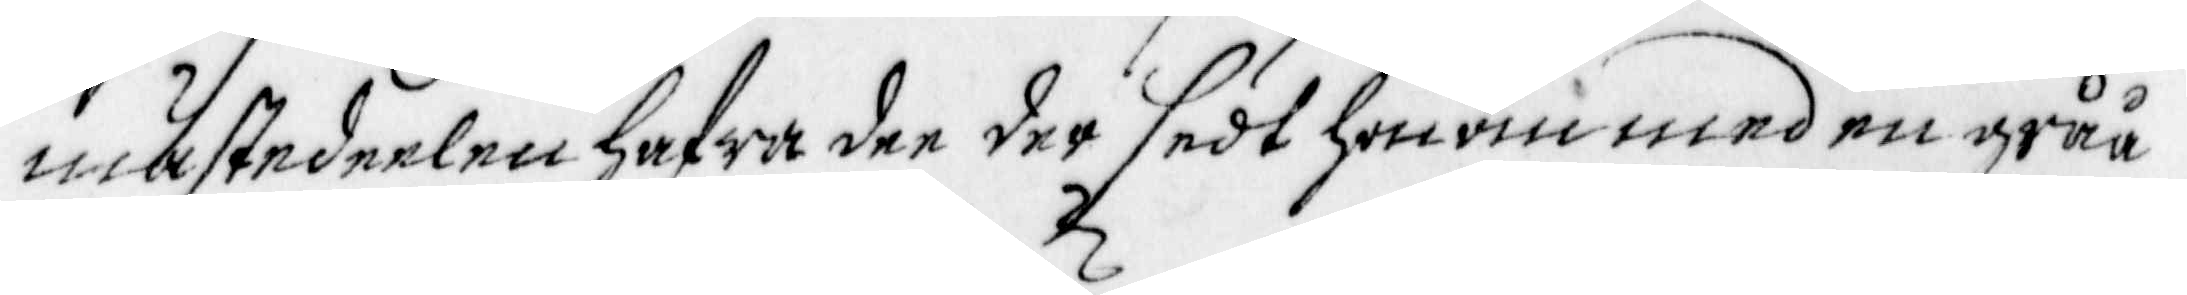mänstedeelen hafwa dee der sedt honom med en gråå
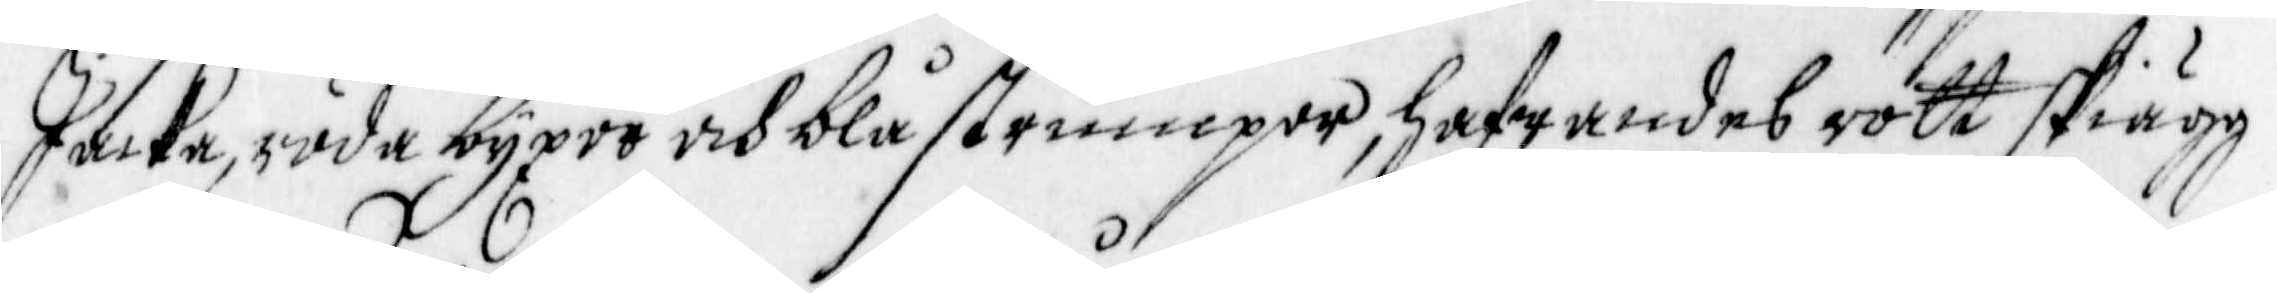Jacka, räda byxor och blå strumpor, hafwandes rött skiägg
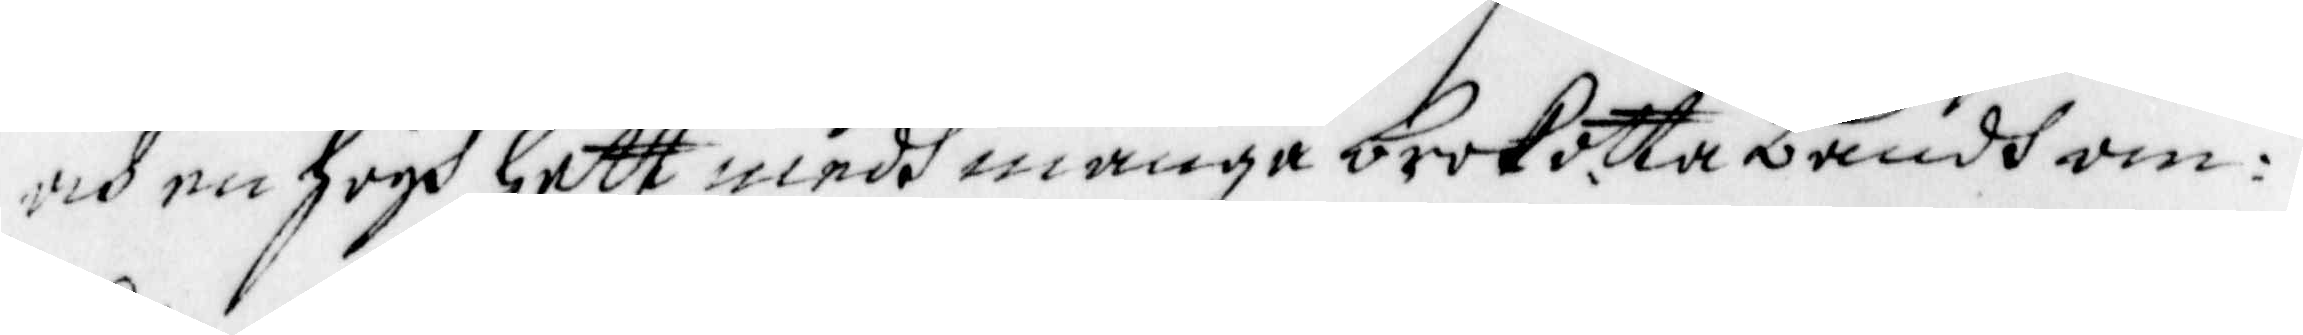och en högh hatt medh många brokotta bandh om¬
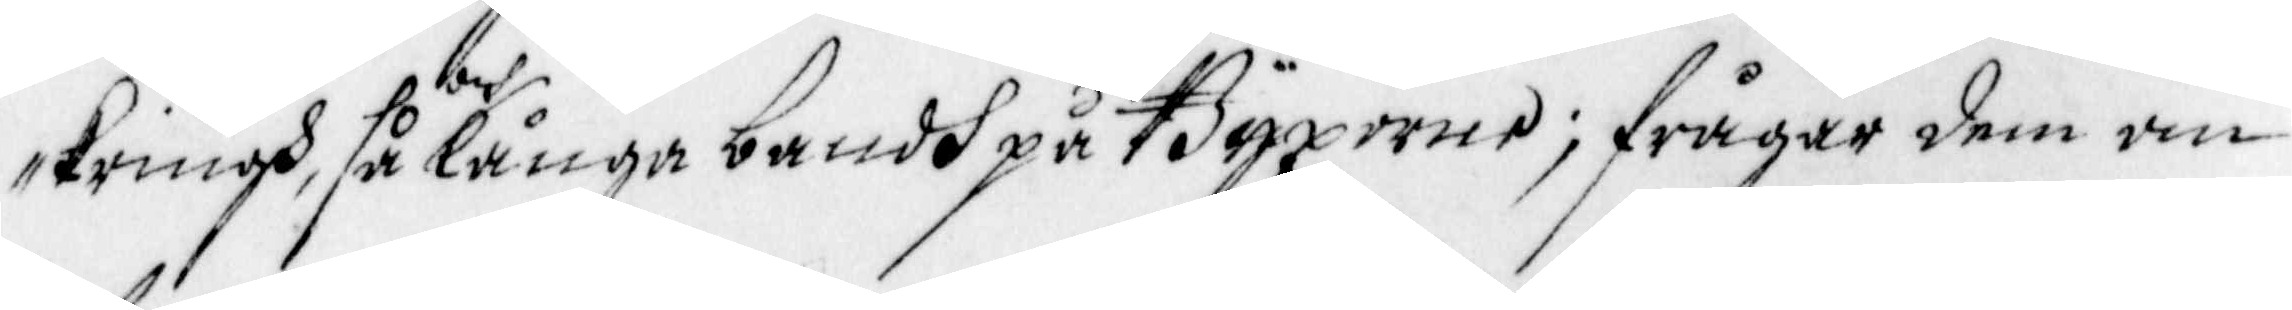kringh, så och långa bandh på Byxorne; frågar dem om
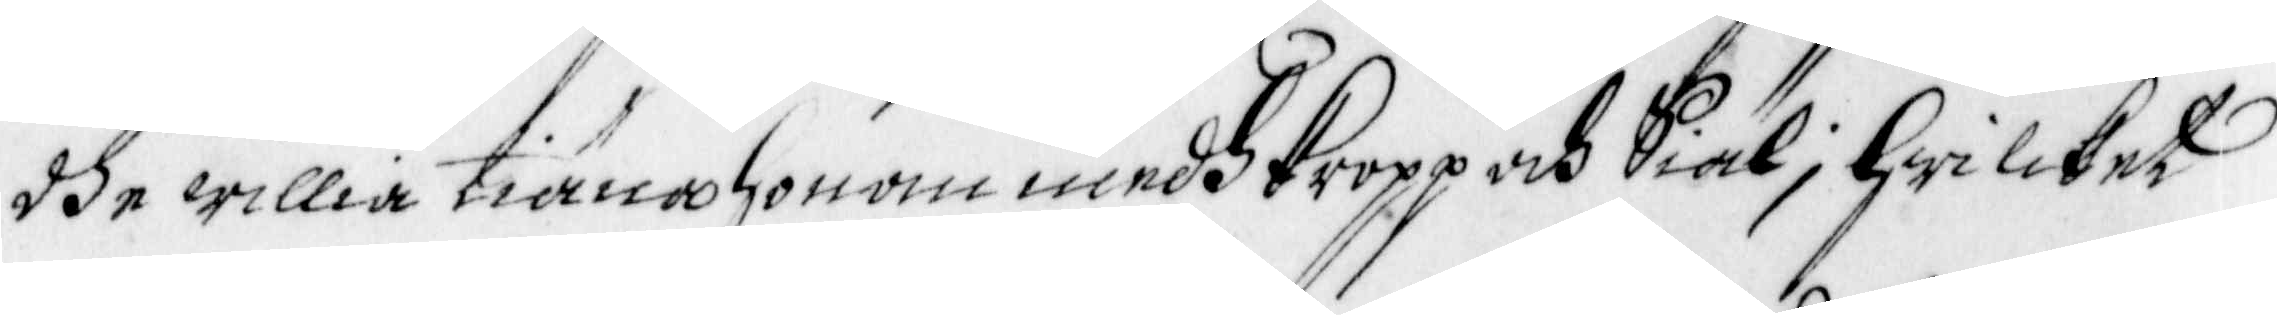dhe willia tiäna honom medh kropp och Siäl; hwilcket
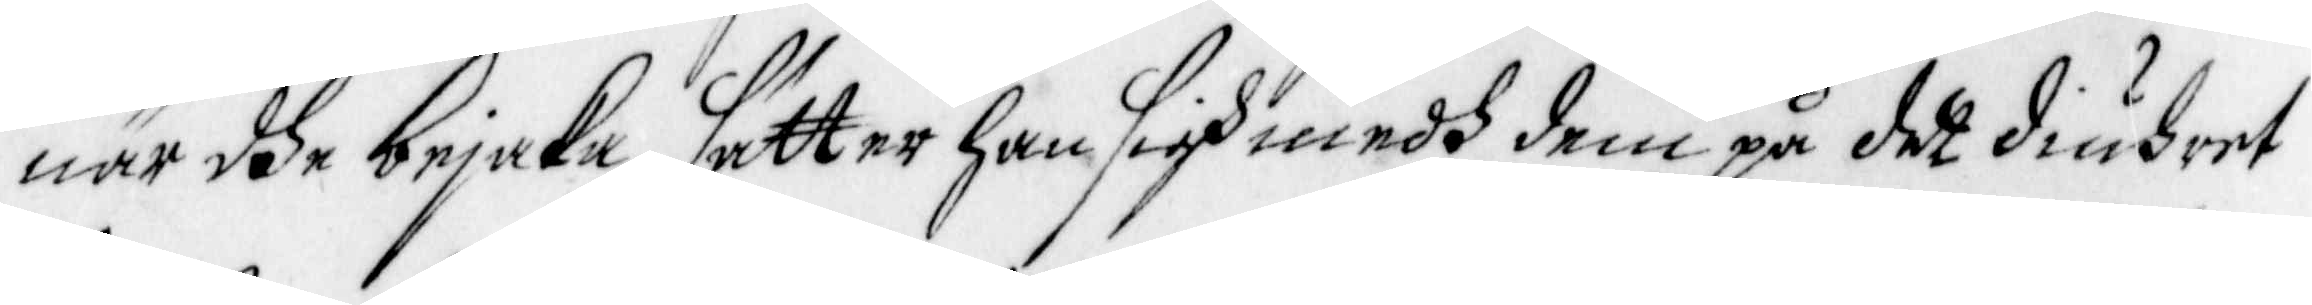när dhe bejaka, sätter han sigh medh dem på det diuhret
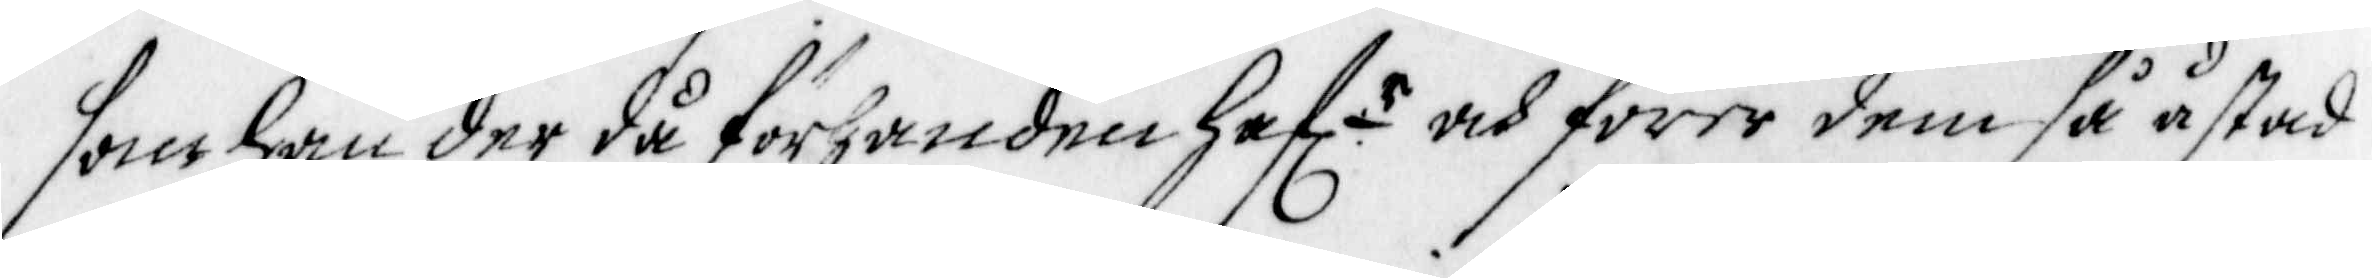som han der då förhanden haf. r och förer dem så åstad
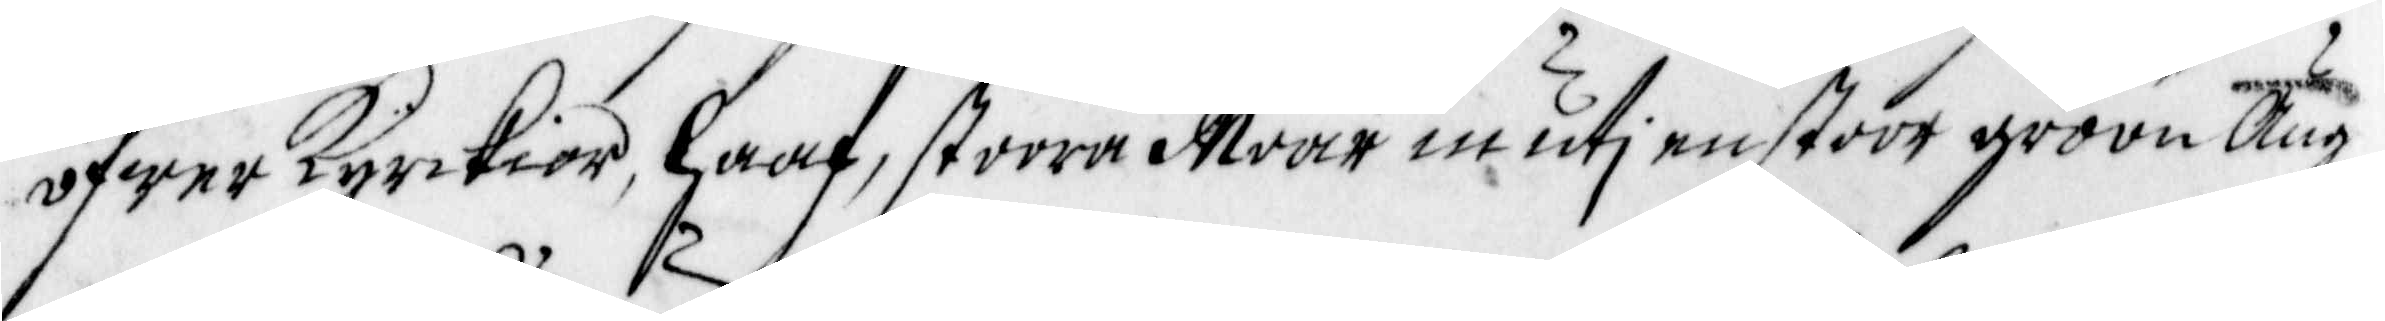öfwer Kyrckior, Haaf, stoora Moar in uti en stoorr gröön äng,
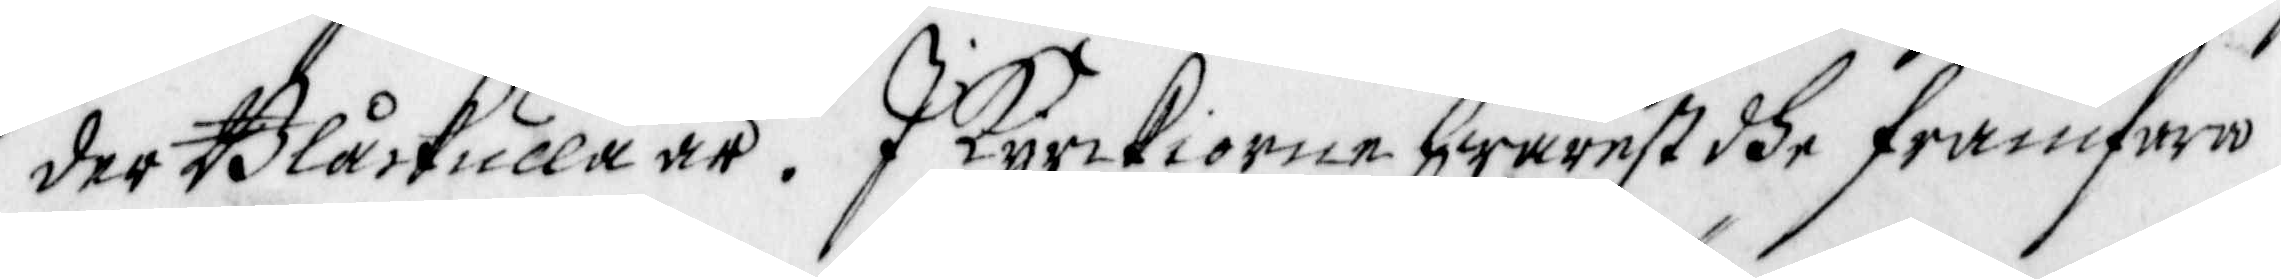der Blåckulla är. I Kyrckiorna hwarest dhe framfara
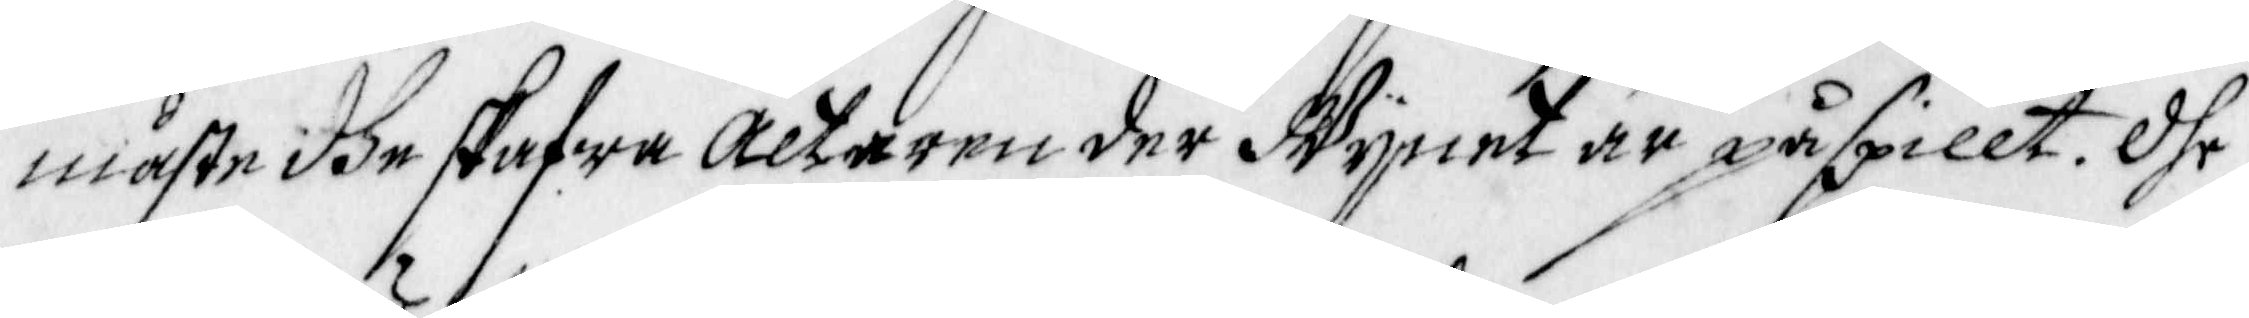måste dhe skafwa altaren der Wynet är påspillt. Dhe
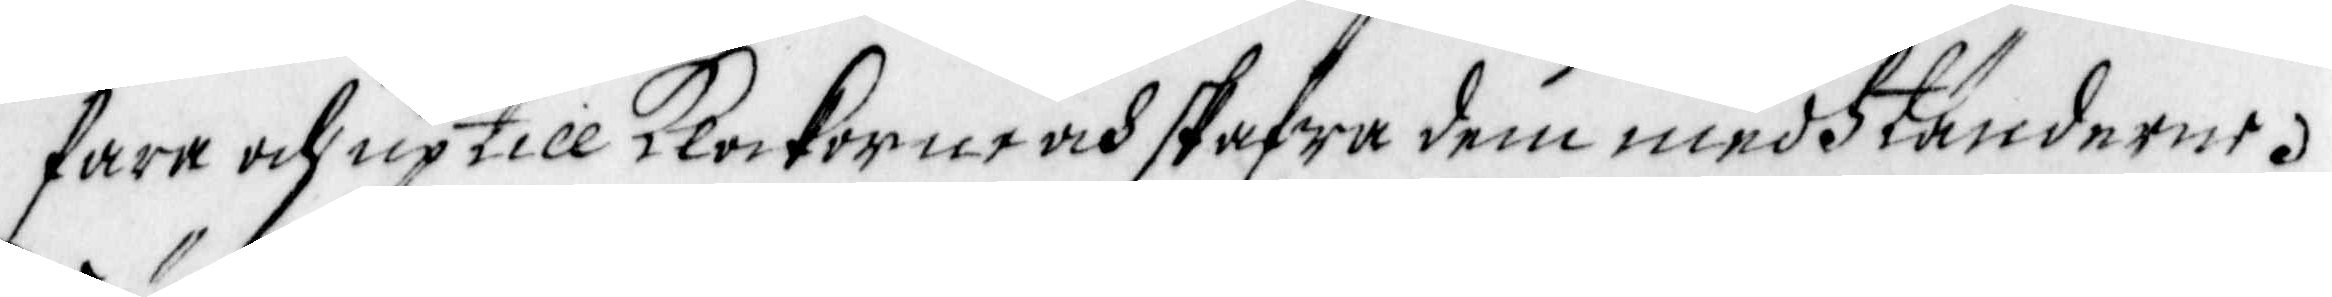fara och up till Klockorne och skafwa dem medh tänderne.
